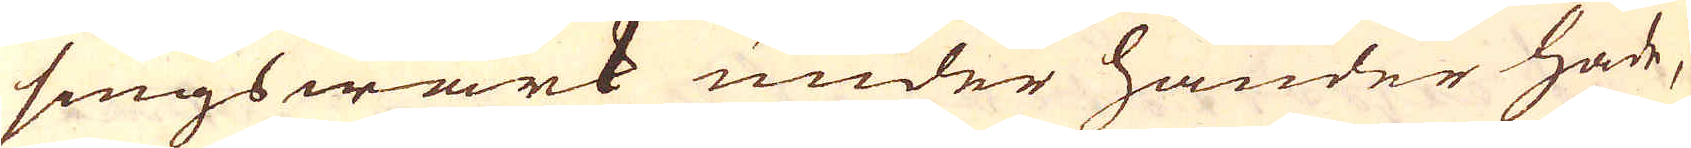sings wärk under händer hade,
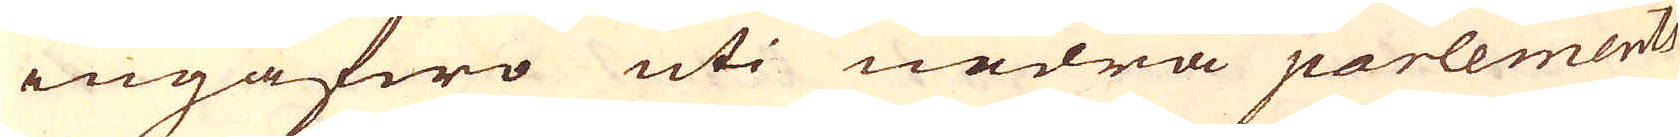ingåfwo uti nedra parlements
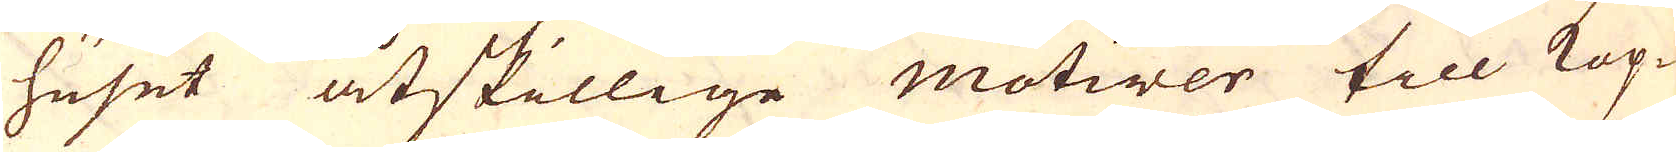huset åtskillige motiver till Kop-
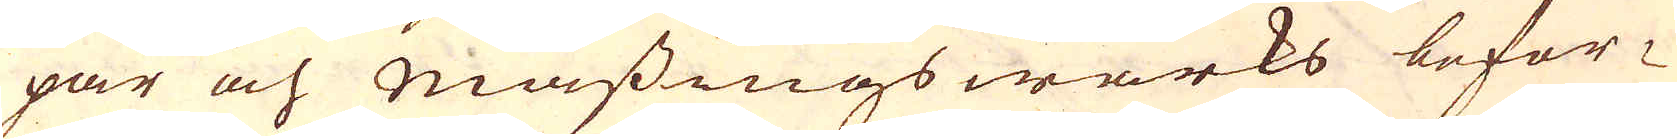par och mässingswärks befor-
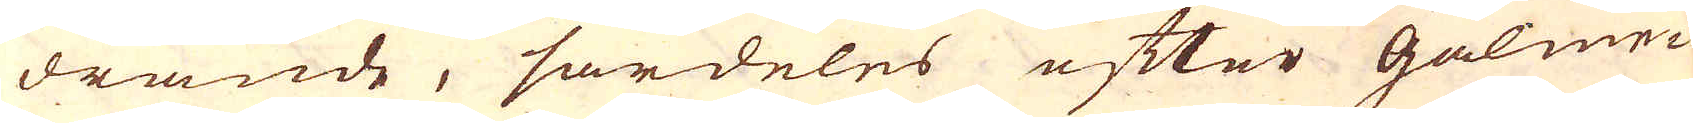drande, särdeles efter Galme-
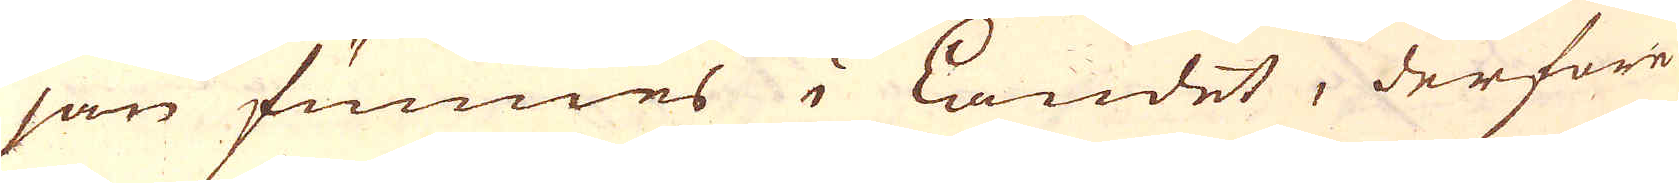jan funnes i landet, derföre
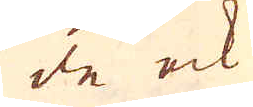de ock
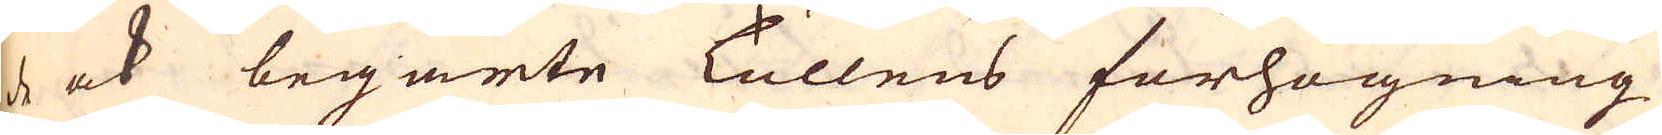de ock begärte Tullens förhögning
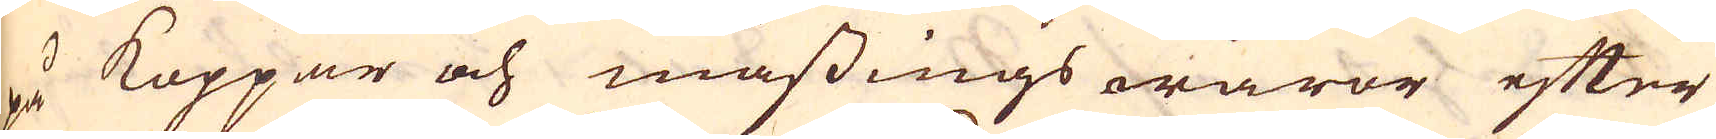på Koppar och mässings waror efter
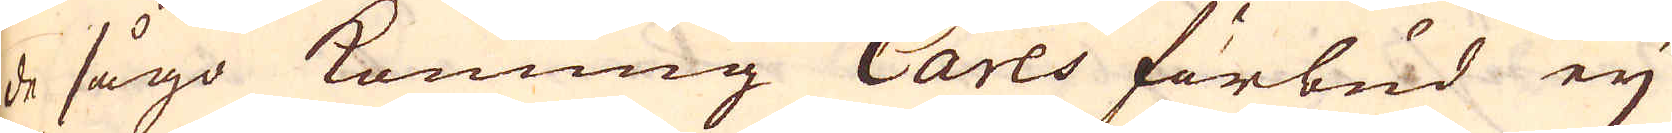de sågo konung Carls förbud ej
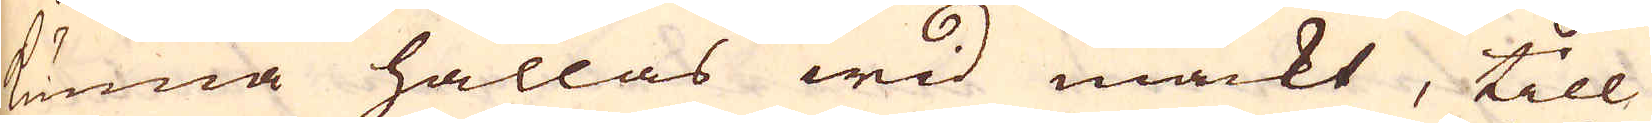kunna hållas wid mackt, till
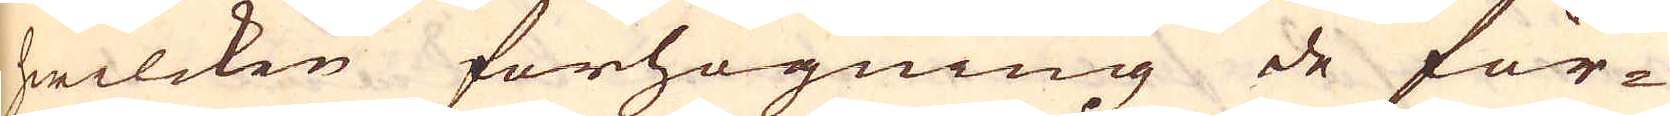hwilcken förhögning de för-
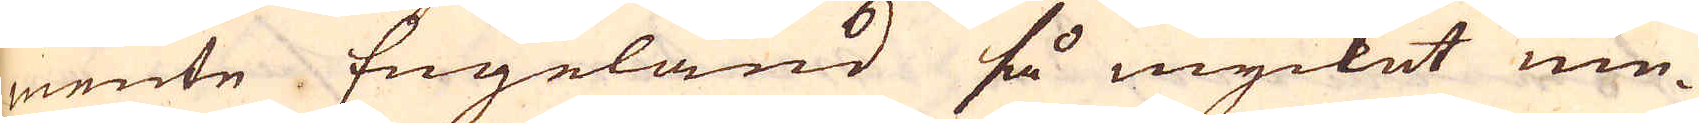mente Engeland så mycket me-
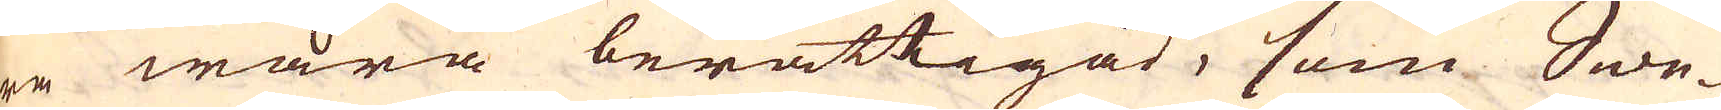ra wara berättigad, som Swe-
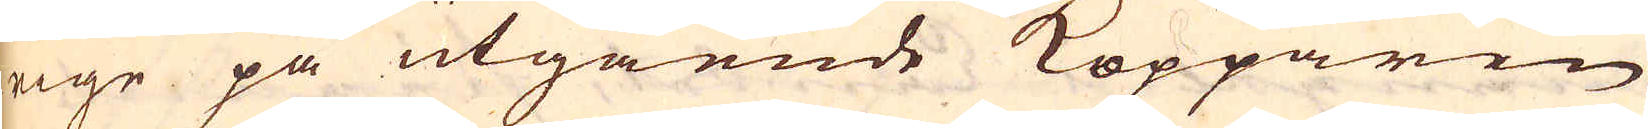rige på utgående Kopparen
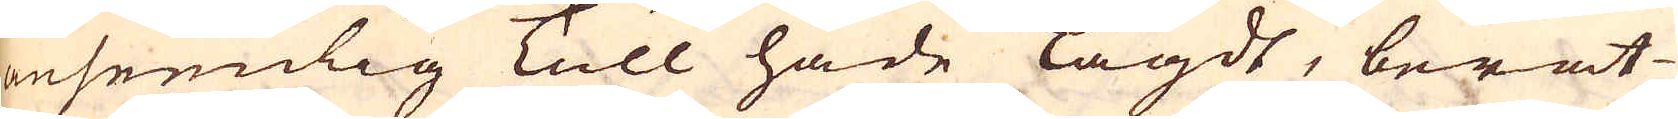anseenlig Tull hade lagdt, berät-
